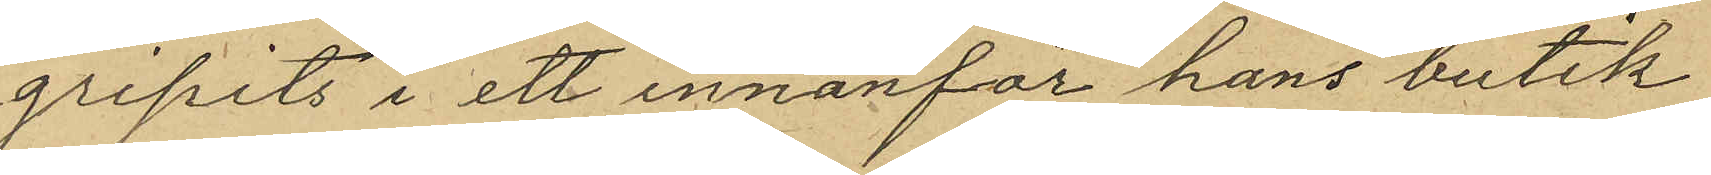gripits i ett innanför hans butik
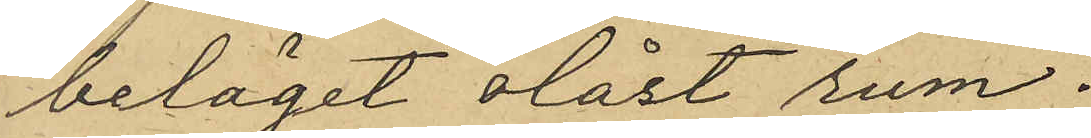beläget olåst rum.
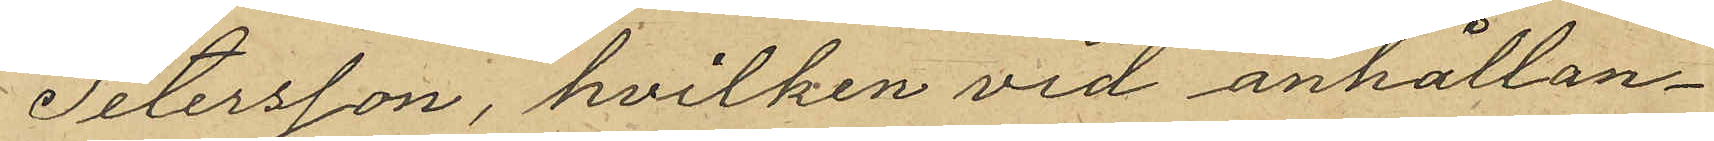Petersson, hvilken vid anhållan¬
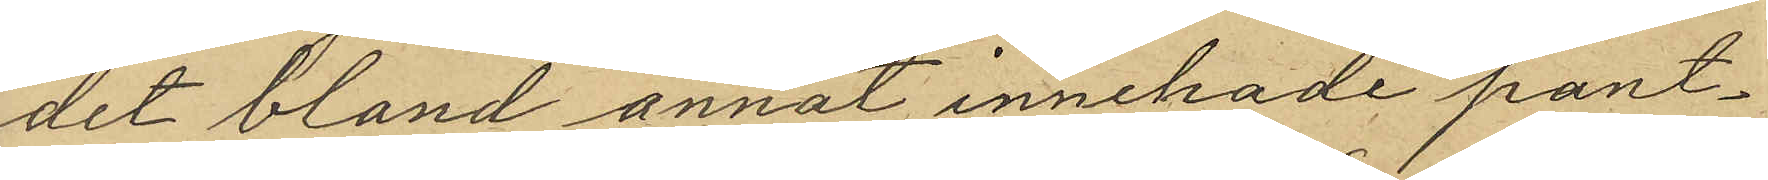det bland annat innehade pant¬
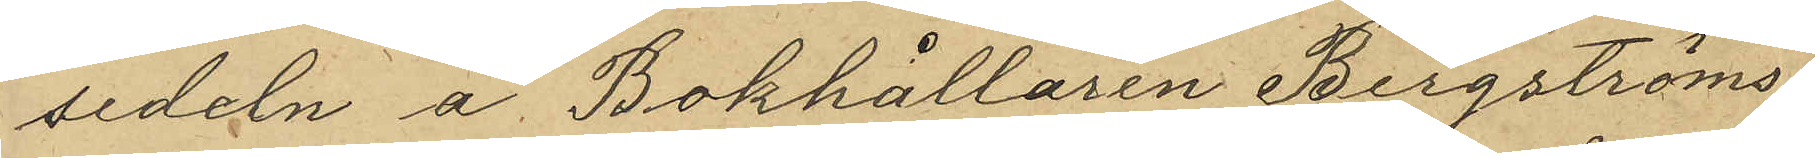sedeln å Bokhållaren Bergströms
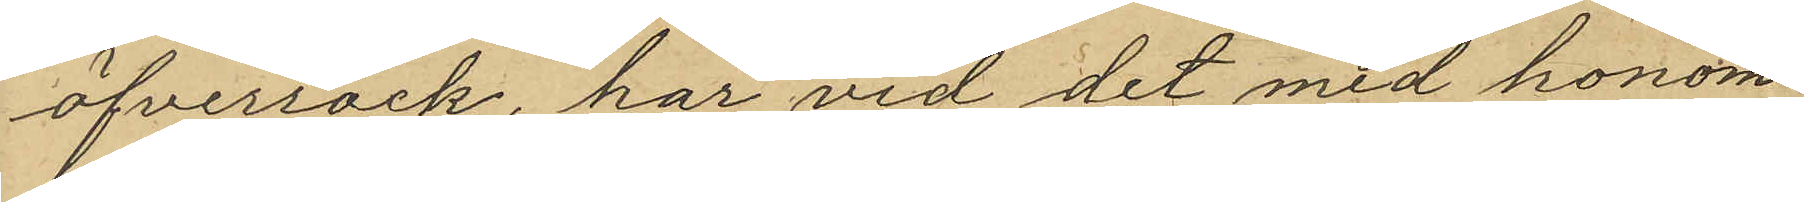öfverrock, har vid det med honom
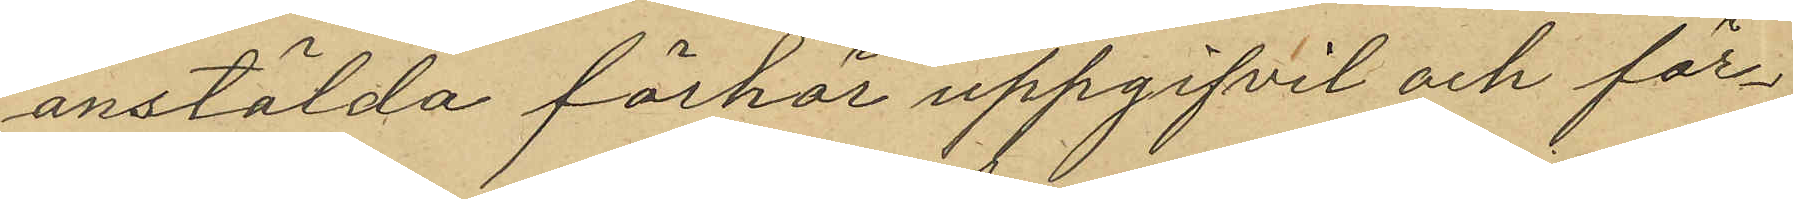anstälda förhör uppgifvit och för¬
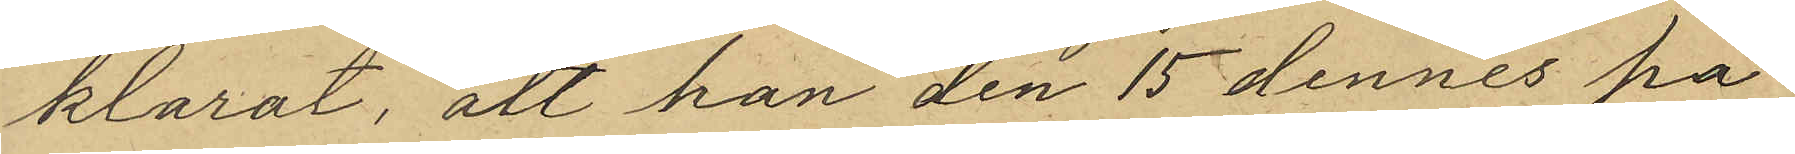klarat, att han den 15 dennes på
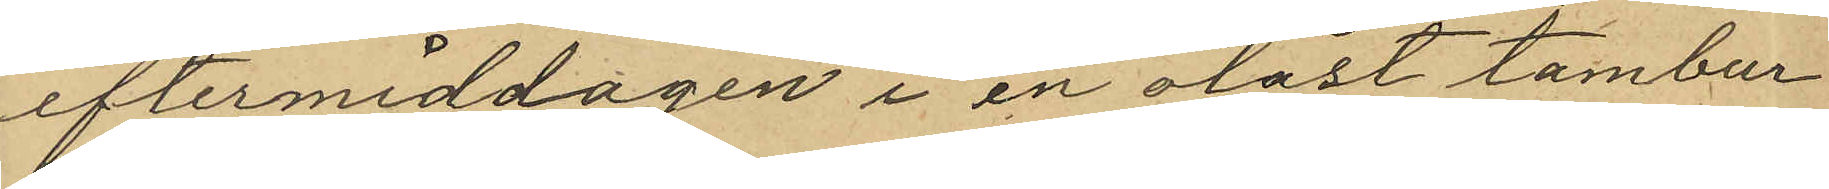eftermiddagen i en olåst tambur
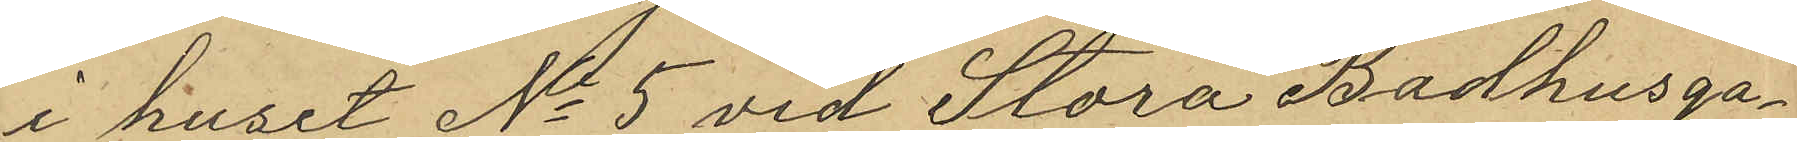i huset No 5 vid Stora Badhusga¬
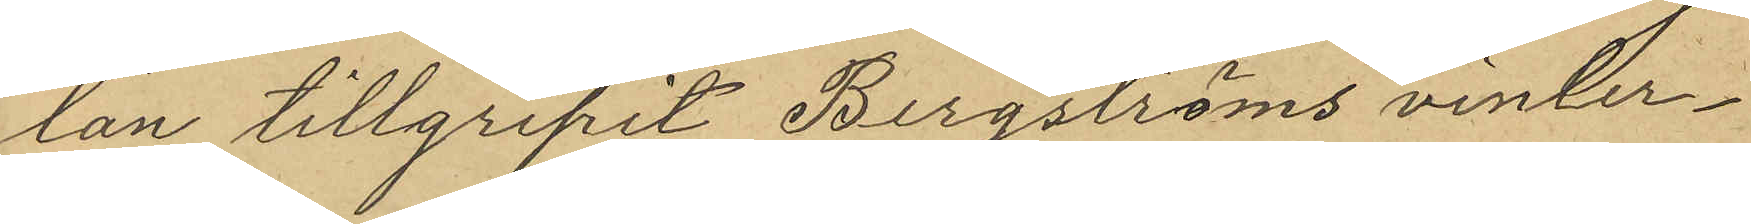tan tillgripit Bergströms vinter¬
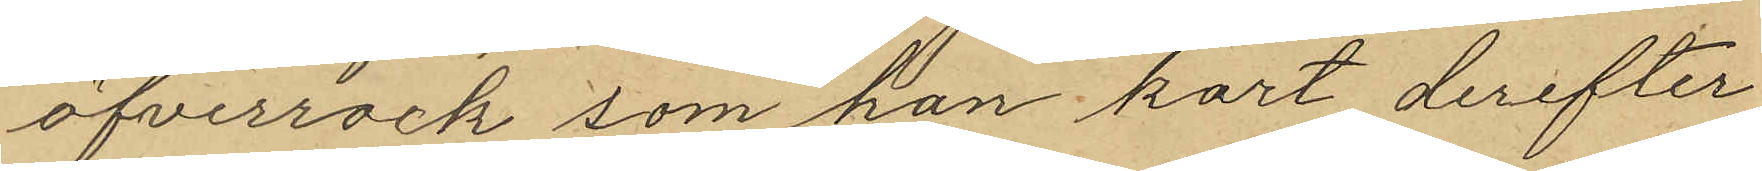öfverrock som han kort derefter
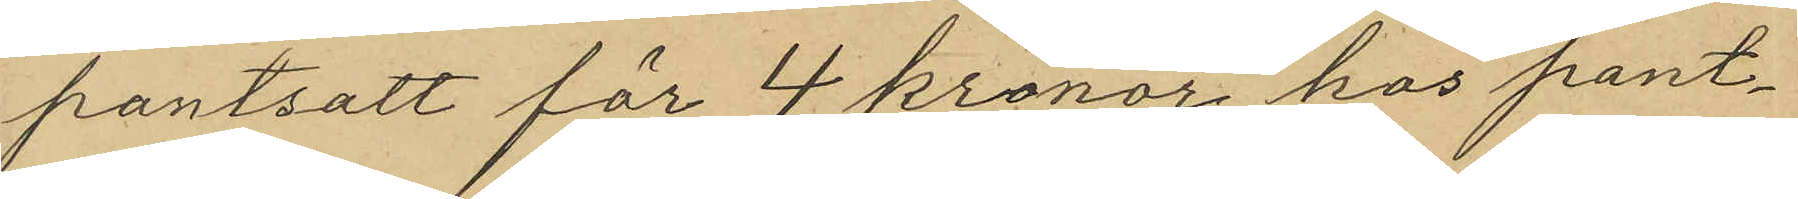pantsatt för 4 kronor hos pant¬
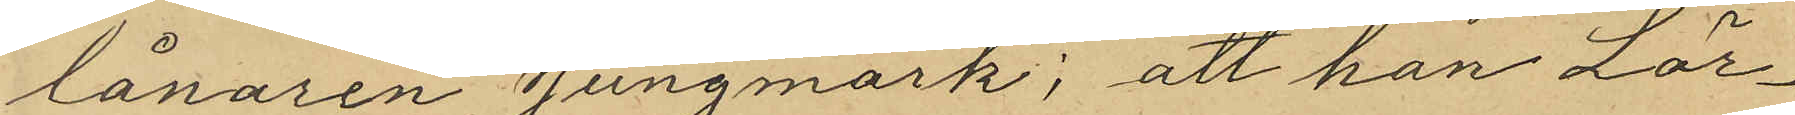lånaren Jungmark; att han Lör¬
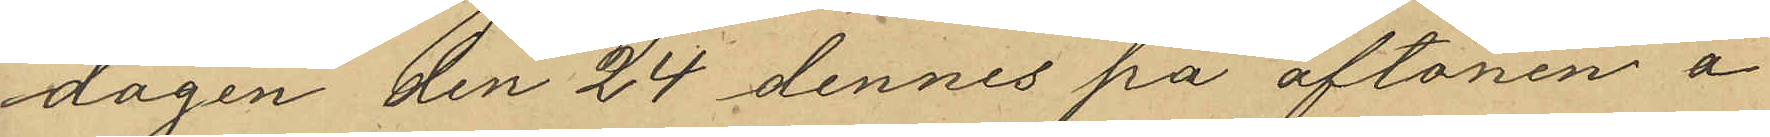dagen den 24 dennes på aftonen å
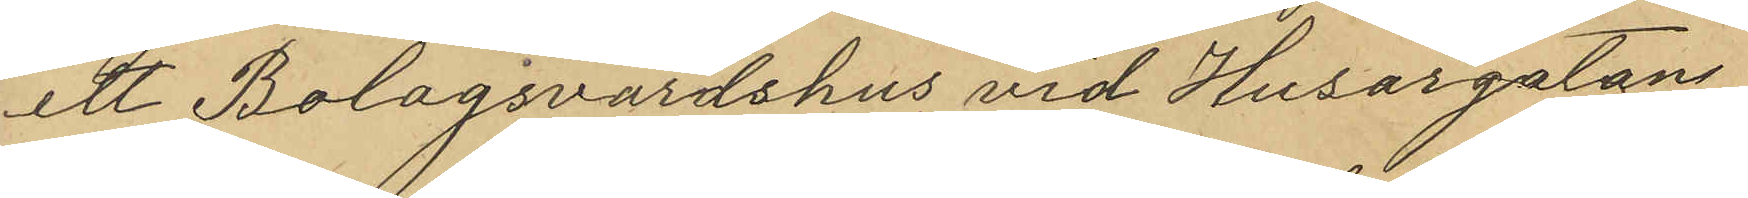ett Bolagsvärdshus vid Husargatan
